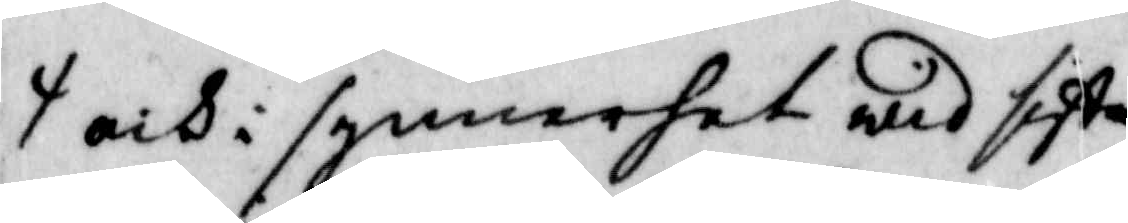och i synnerhet wid sista
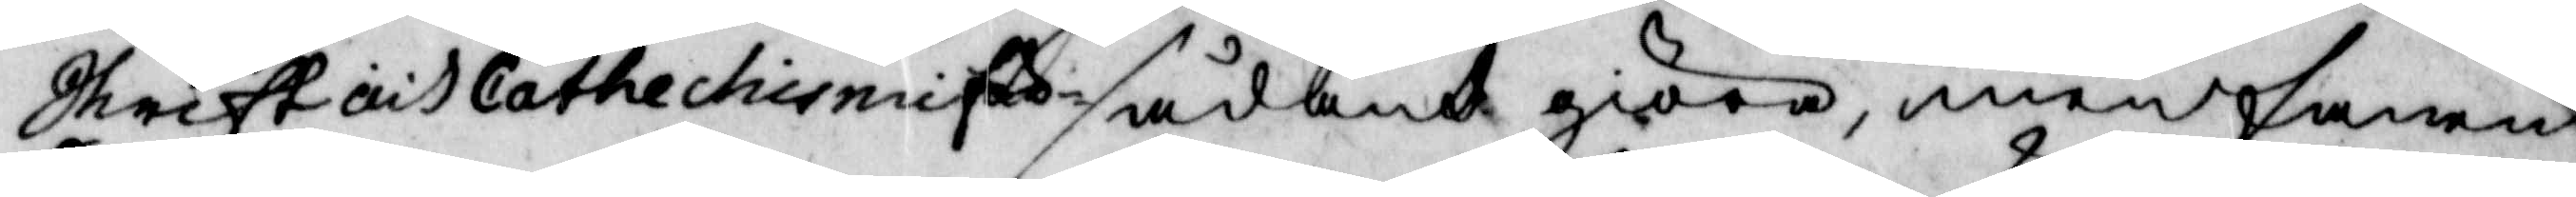Shrift och Cathechismiför¬
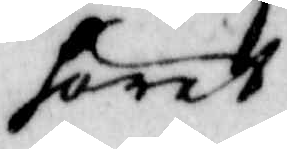höret
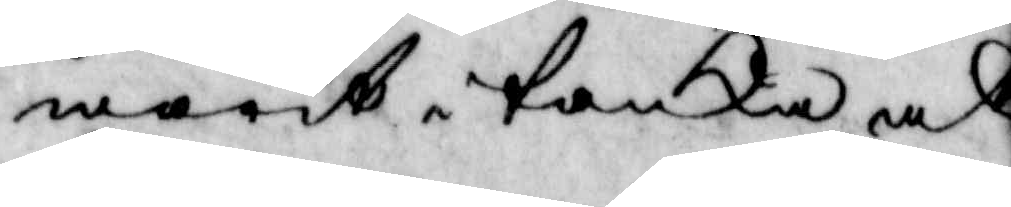warit i tanka, at
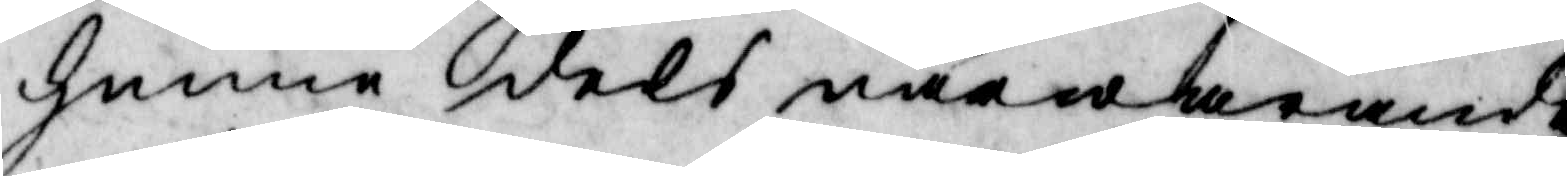henne dels närwarande
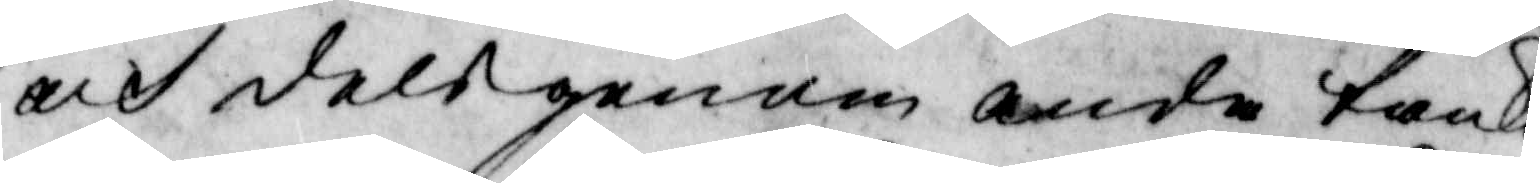och dels genom andre tanka
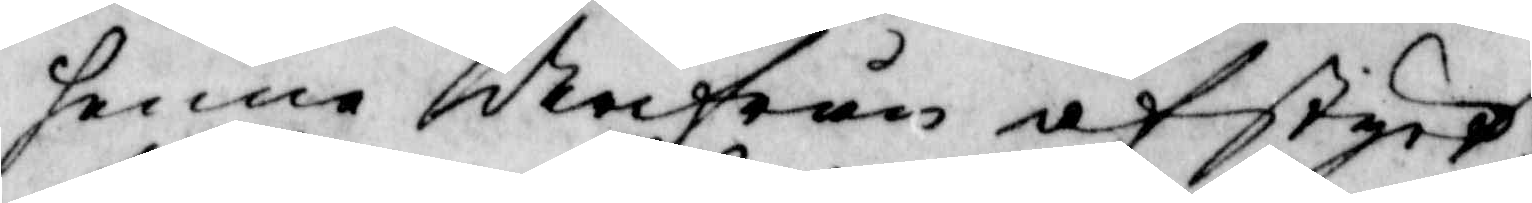henne derifrån afstyrt,
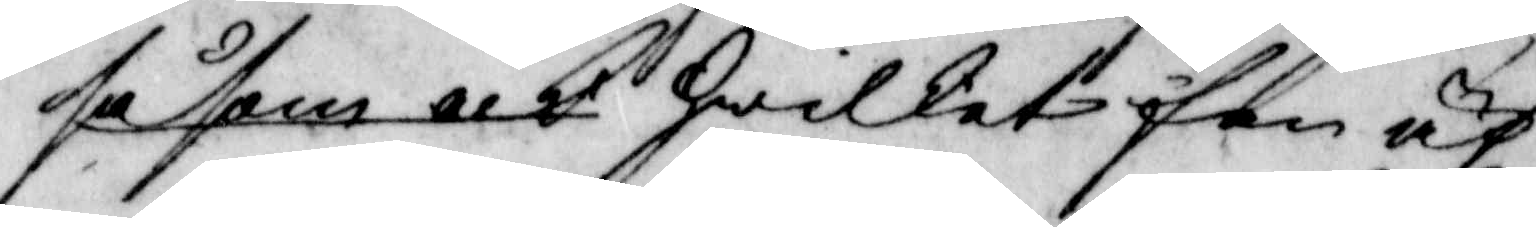såsom och hwilket fan äf¬
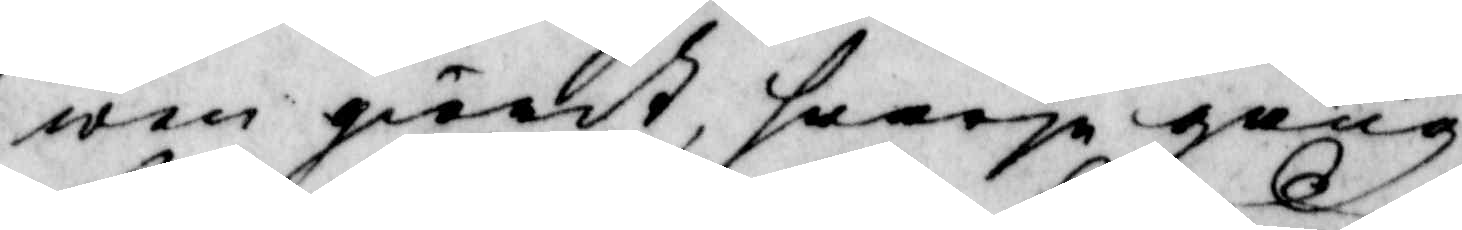wen giordt, hwarje gång 
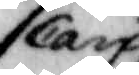Carin
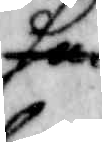hon
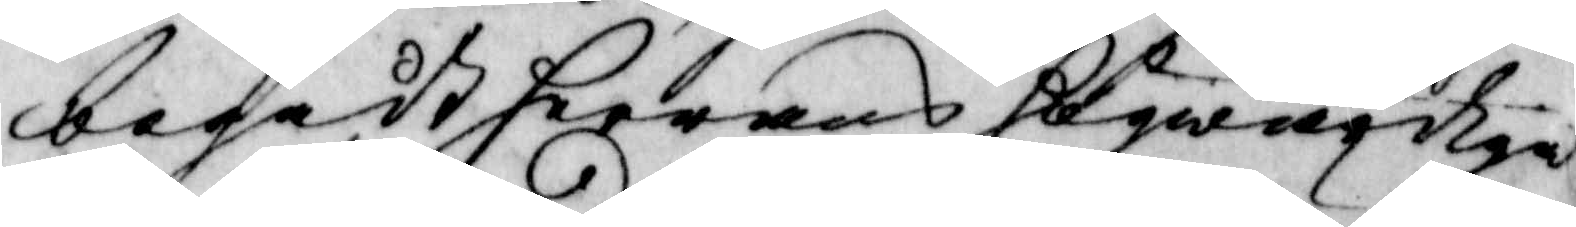begådh herrans högwärdiga
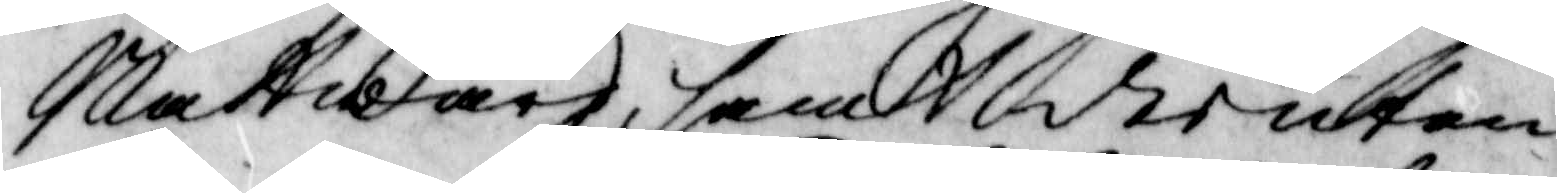Nattward, samt der utan
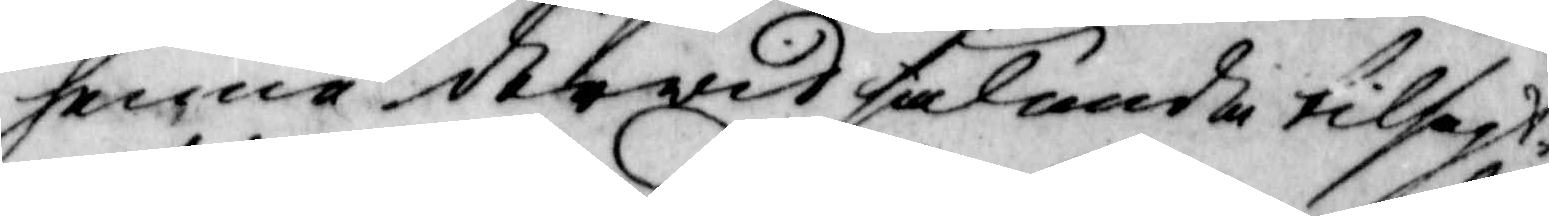henne derwid fallande tilsagt
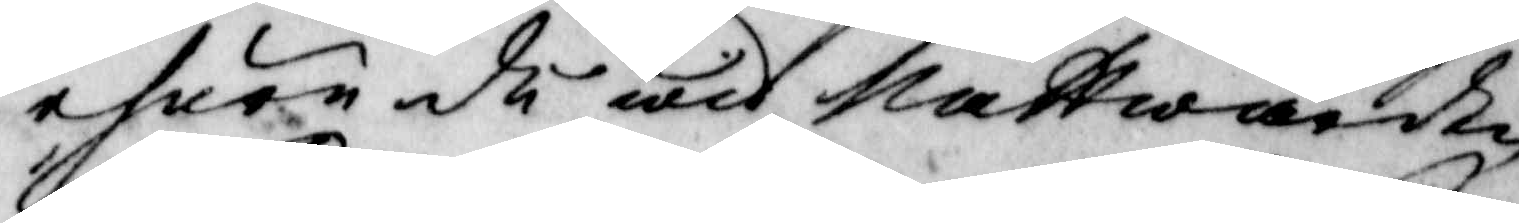ehuru du wid nattwardan
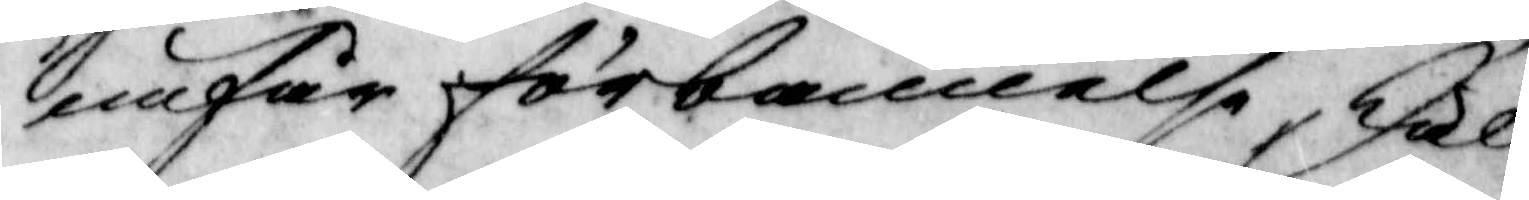nnfår förbannelse, skall
